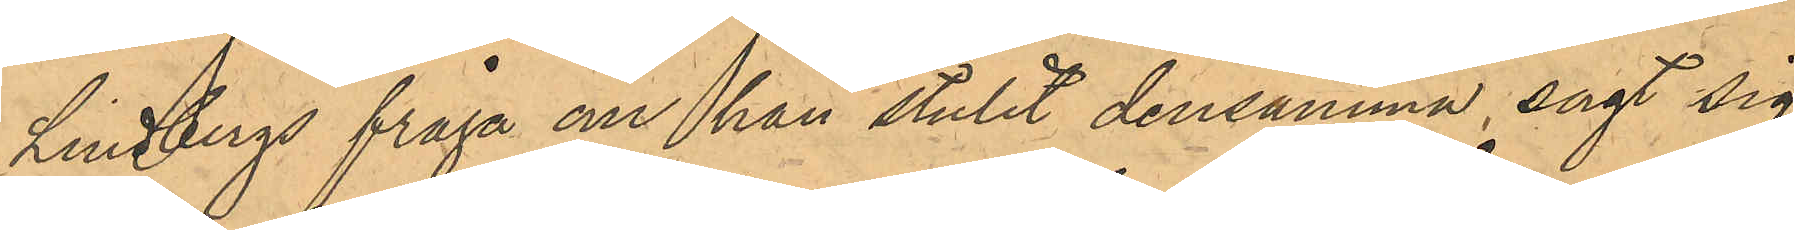Lindbergs fråga om han stulit densamma, sagt sig
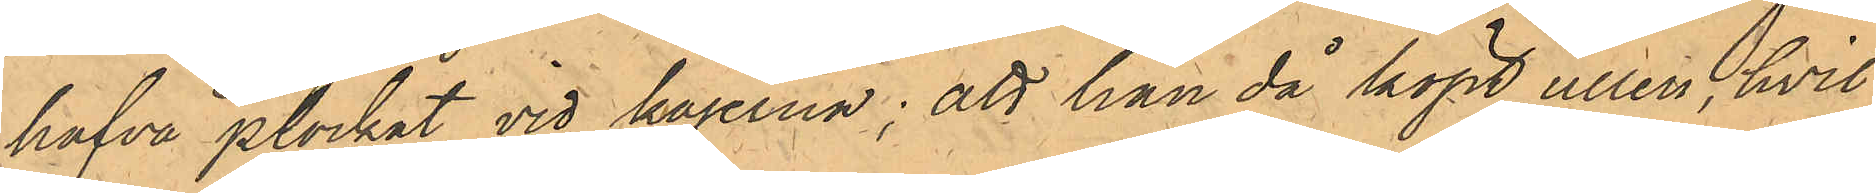hafva plockat vid kajerna; att han då köpt ullen, hvil¬ 
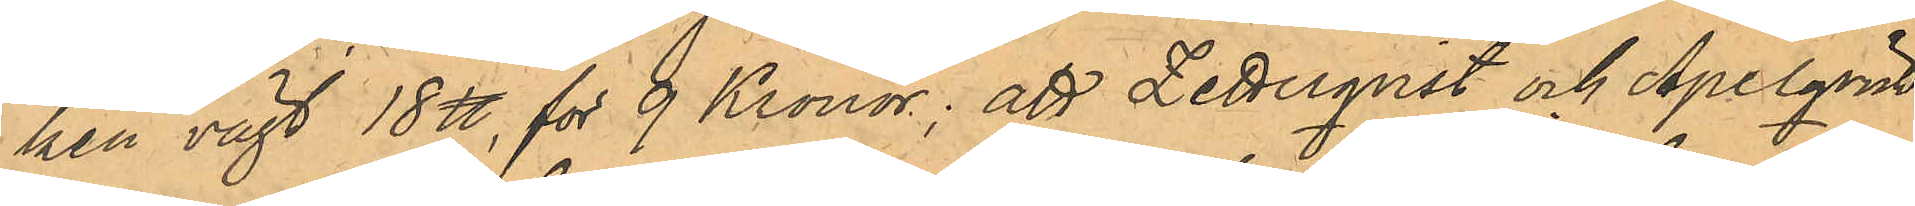ken vägt 18 ℔, för 9 Kr; att Zetterqvist och Apelqvist 
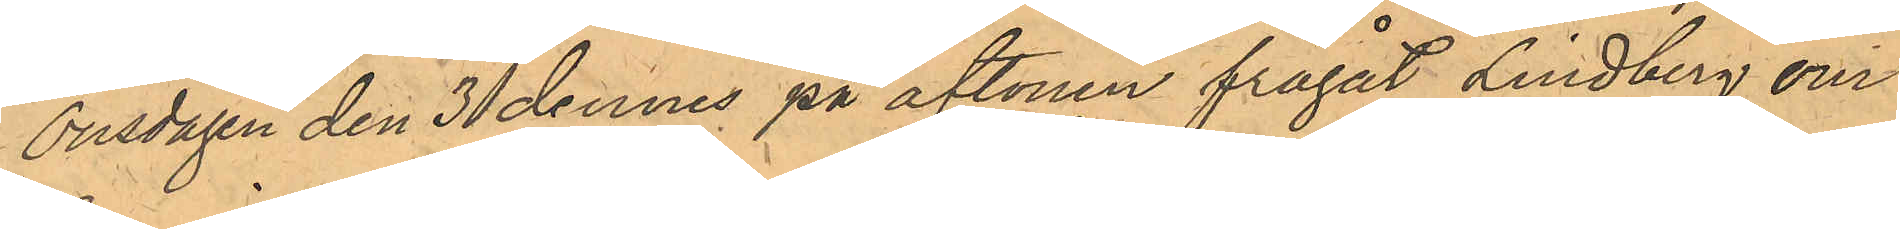Onsdagen den 3 dennes på aftonen frågat Lindberg om
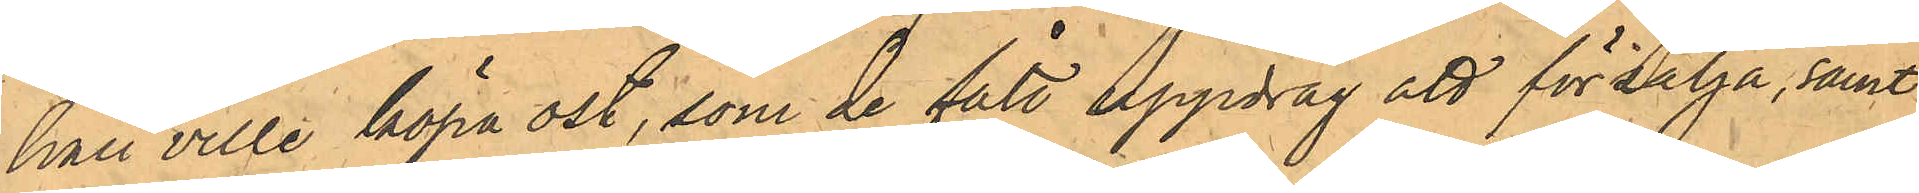han ville köpa ost, som de fått uppdrag att försälja, samt
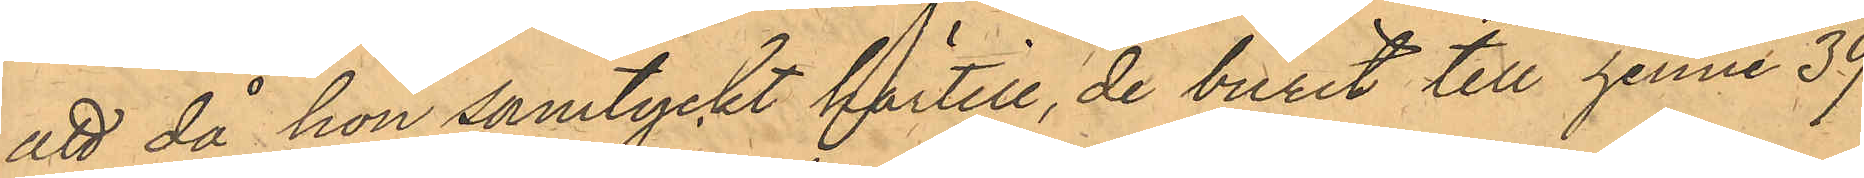att då hon samtyckt härtill, de burit till henne 39
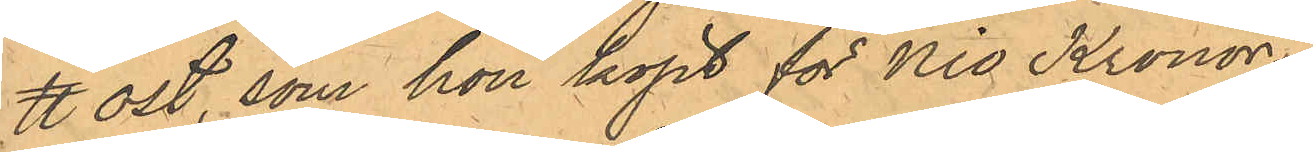℔ ost, som hon köpt för Nio Kronor.
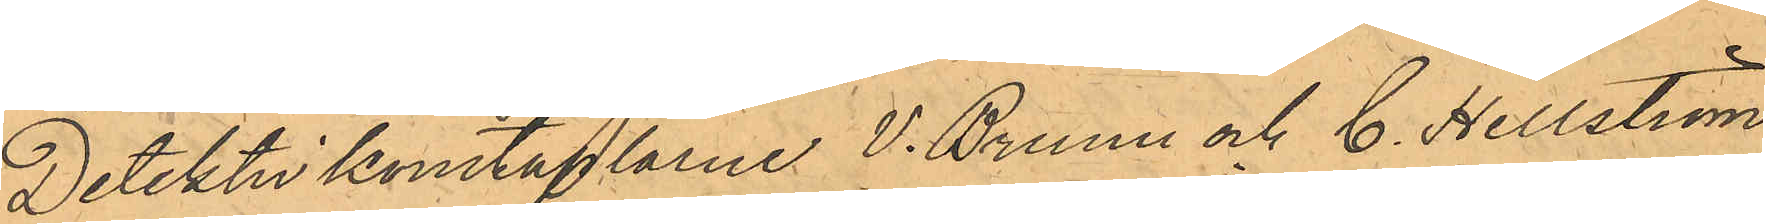Detektivkonstaplarne V. Bruun och C. Hellström
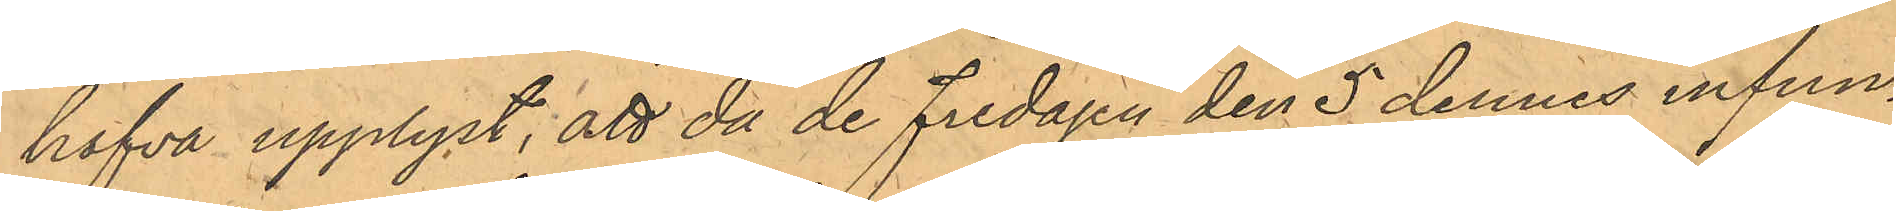hafva upplyst, att då de Fredagen den 5 dennes infun¬
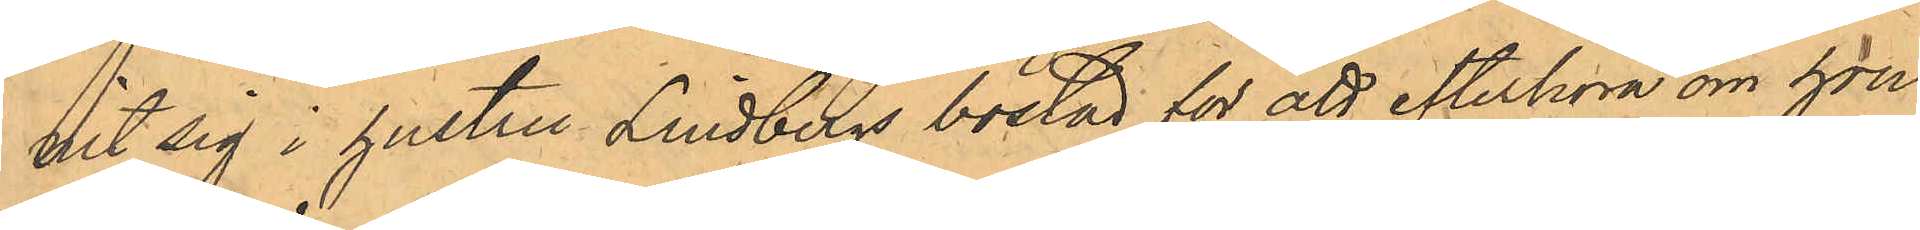nit sig i hustru Lindbergs bostad för att efterhöra om hon
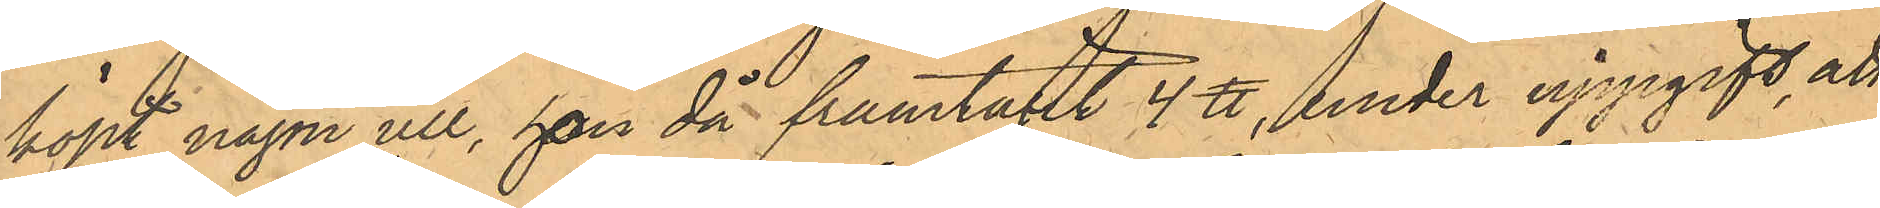köpt någon ull, hon då framtagit 4 ℔, under uppgift, att
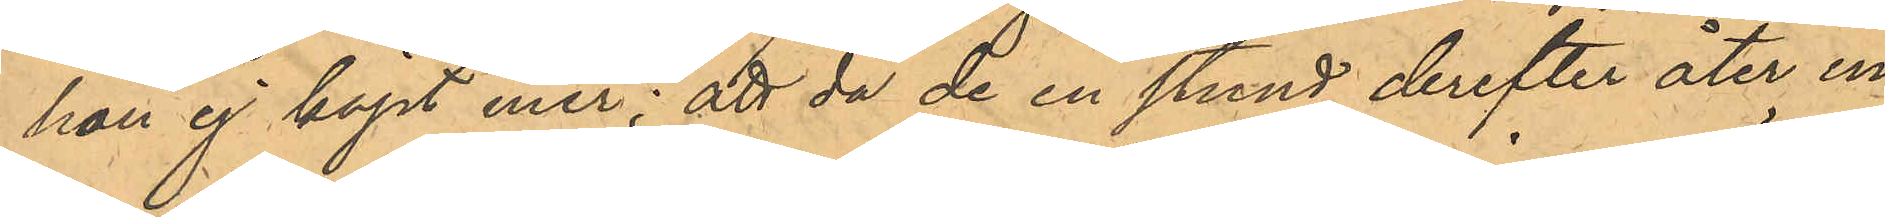hon ej köpt mer; att då de en stund derefter åter in¬
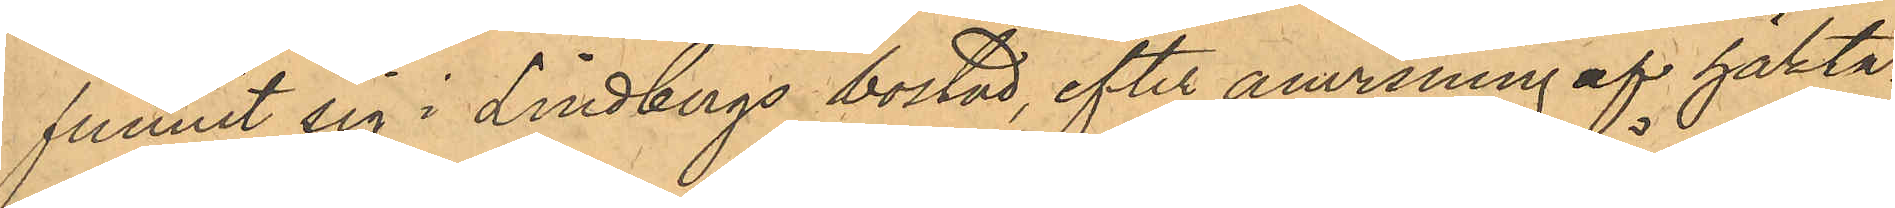funnit sig i Lindbergs bostad, efter anvisning af häkta¬
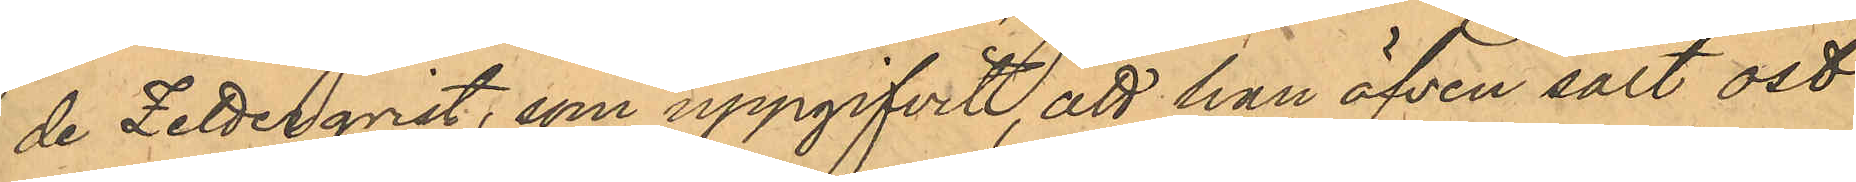de Zetterqvist, som angifvit, att han äfven sålt ost
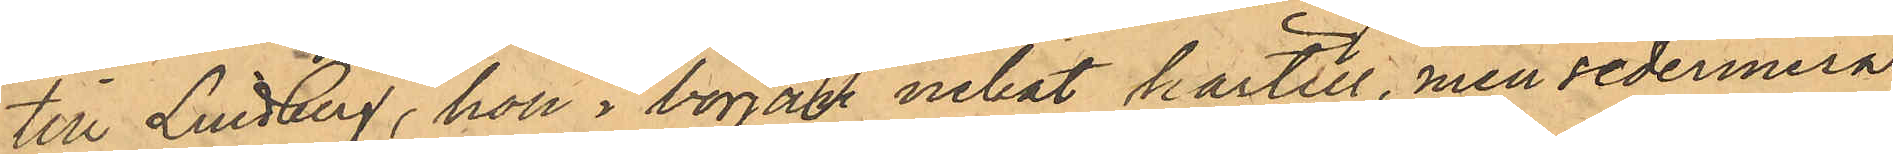till Lindberg, hon i början nekat härtill, men sedermera
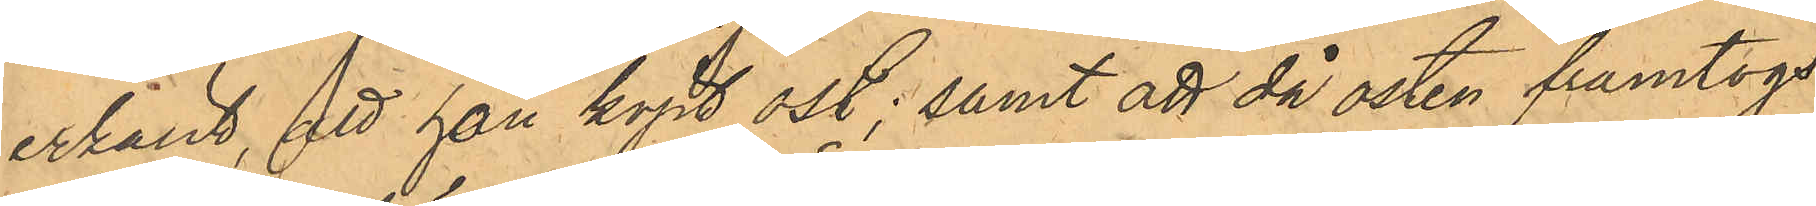erkänt, att hon köpt ost; samt att då osten framtogs
